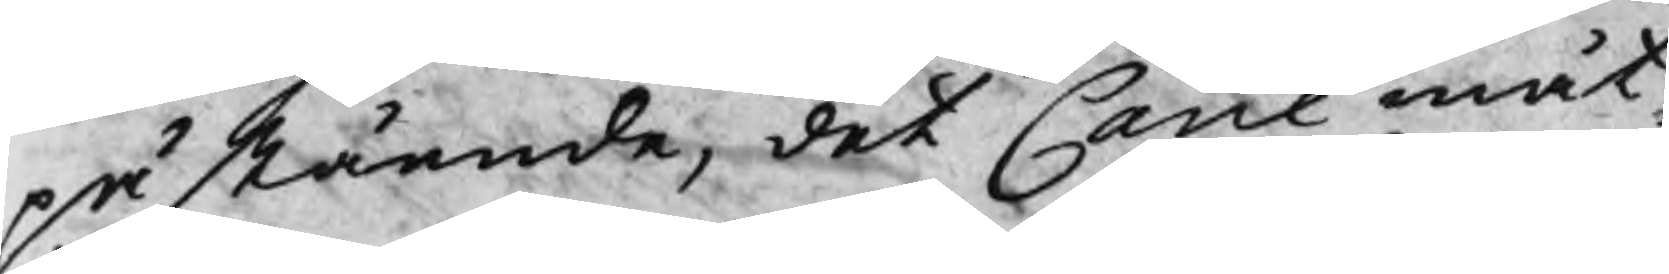påstående, det Cane måt¬
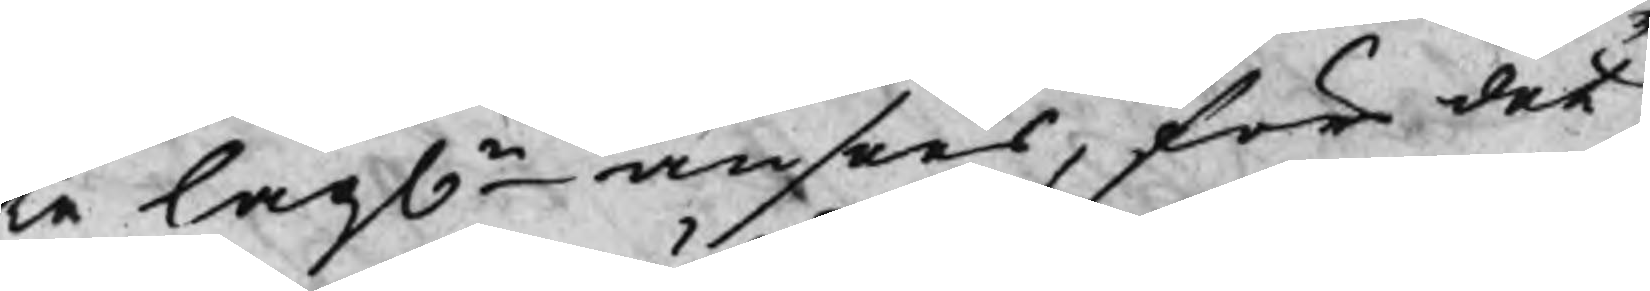te lagln ansees, för det
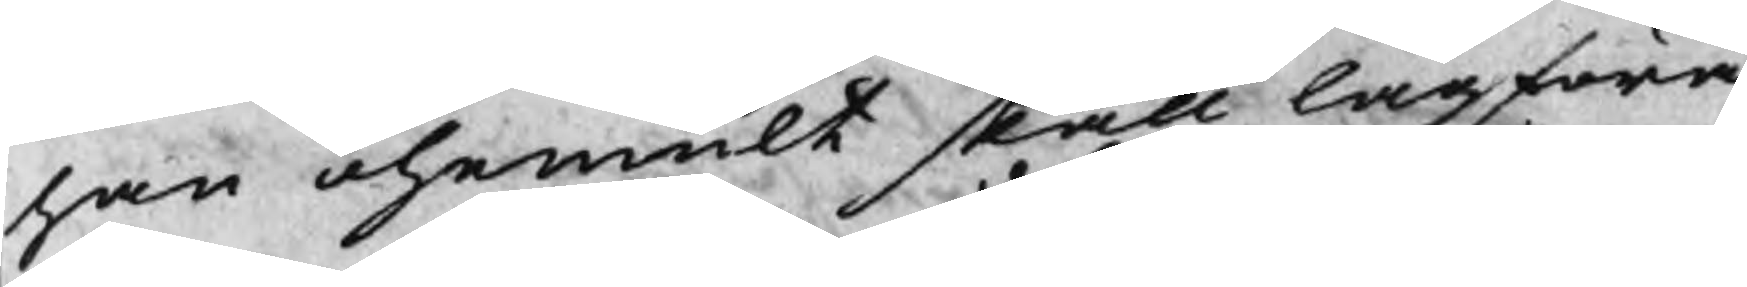han ohemult skall lagföra
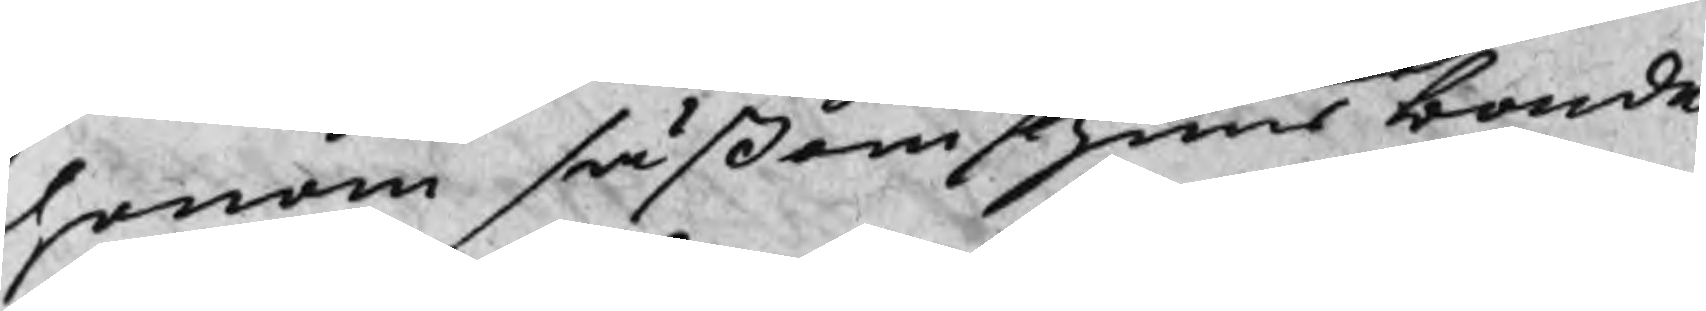honom såßom huusbonde
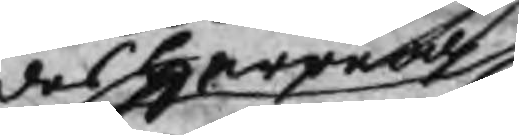des Herre och
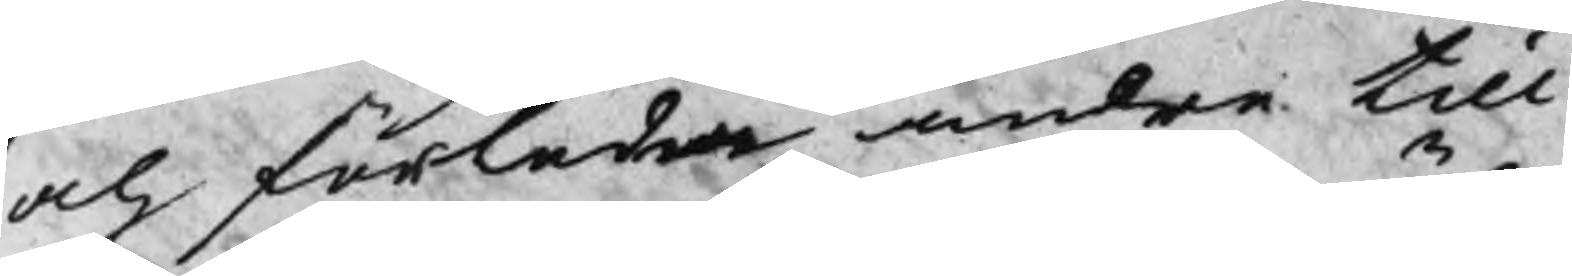och förleda andra till
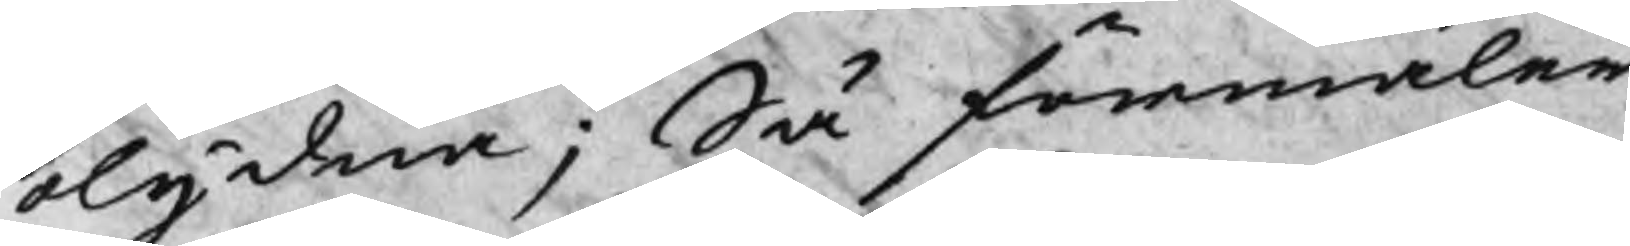olydna; Så förmäler
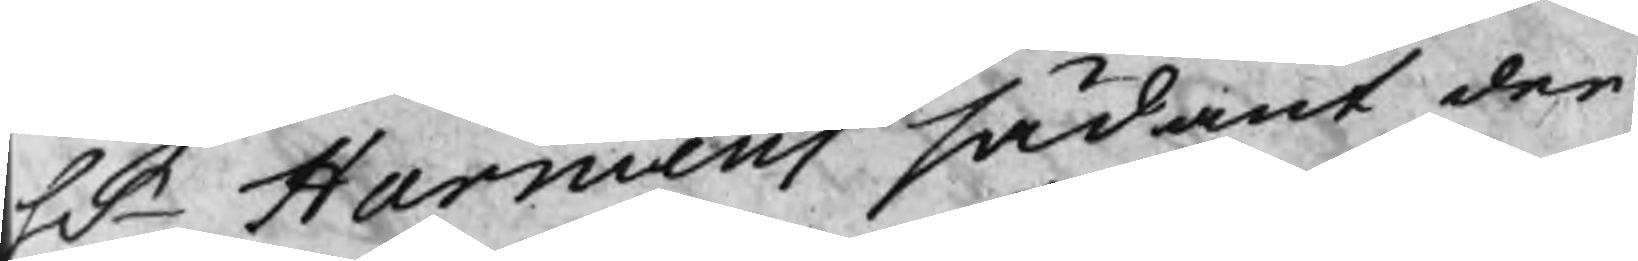Hr Harmens sådant der
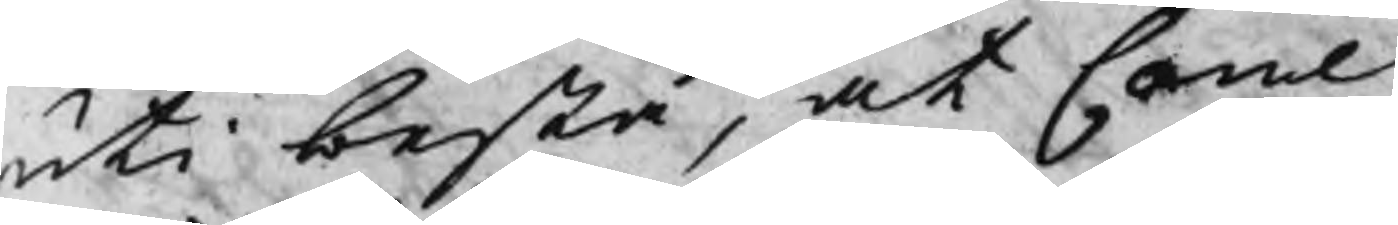uti bestå, at Cane
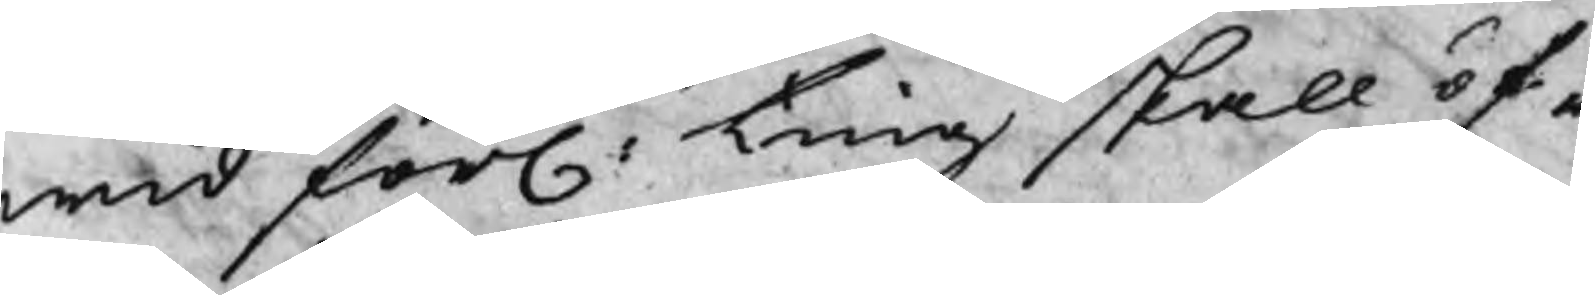wid förl: ting skall öf¬
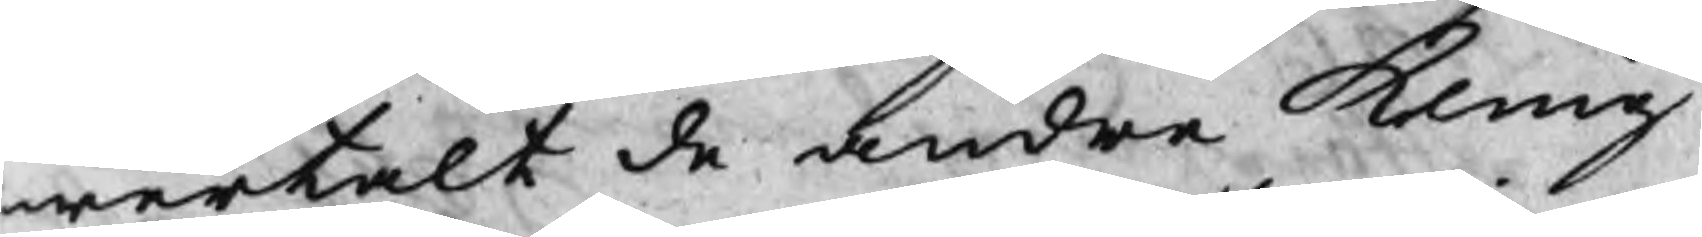wertalt de andre Kling¬
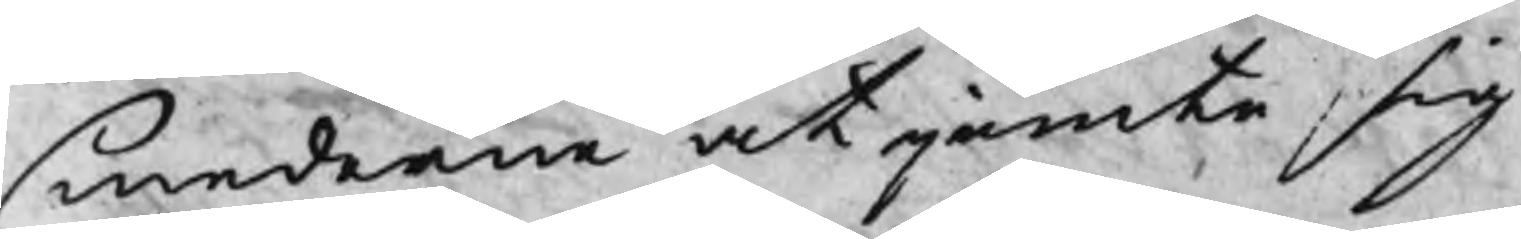smederne at jemte sig
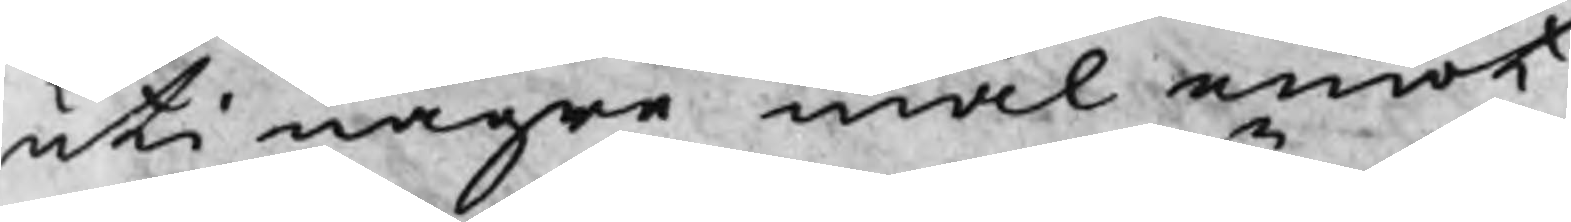uti någre mål emot
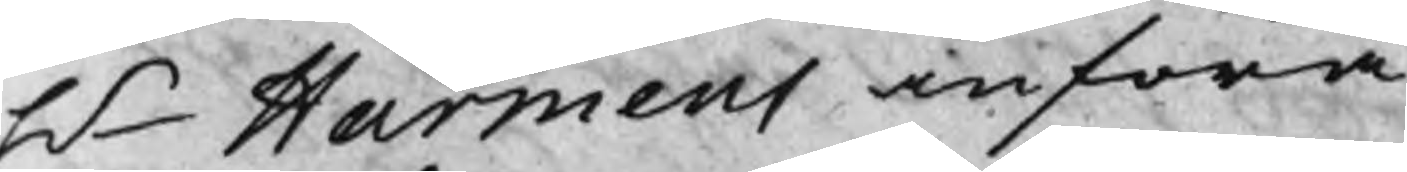Hr Harmens anföra
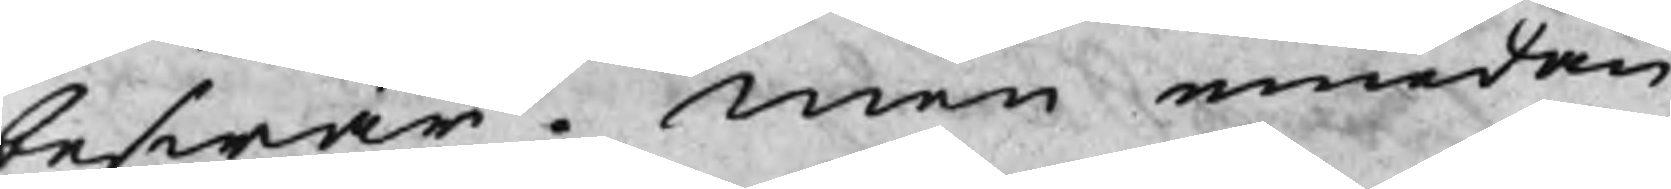beswär. men emedan
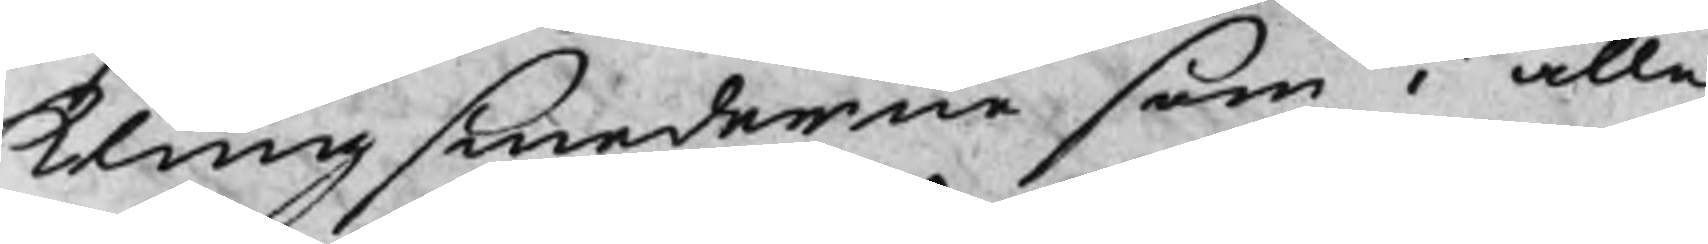klingsmederne som i alle
